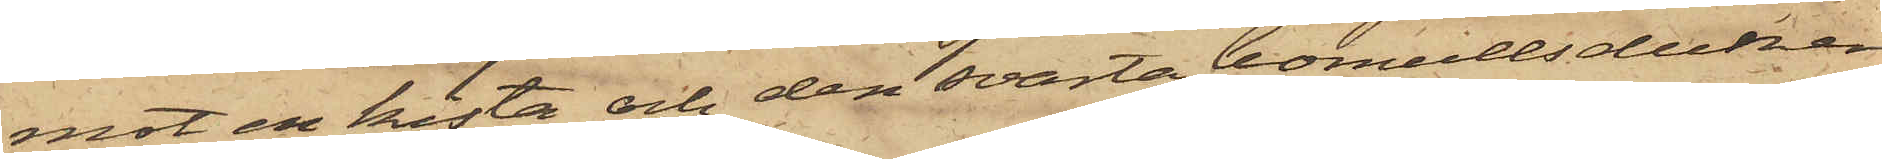mot en kista och den svarta bomullsduken
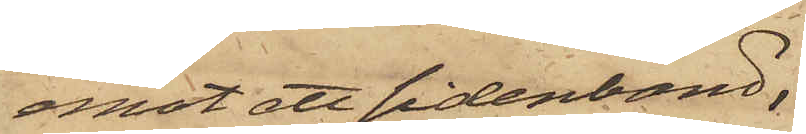emot ett sidenband;
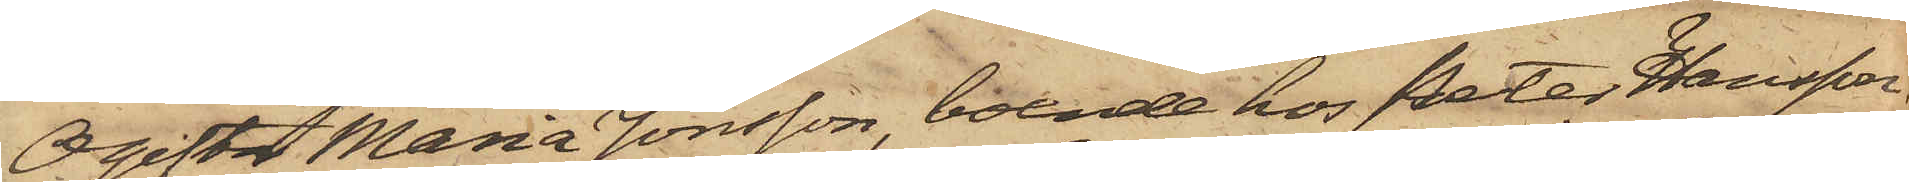Ogifta Maria Jonsson, boende hos Peter Hansson,
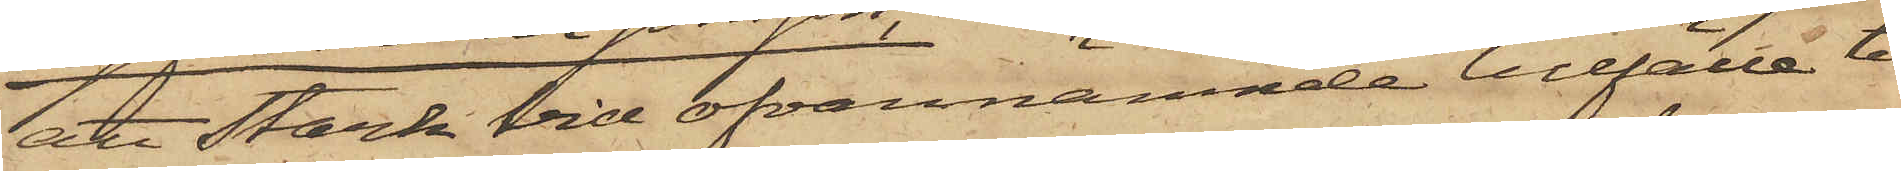att Stark vid ofvannämnde tillfället till
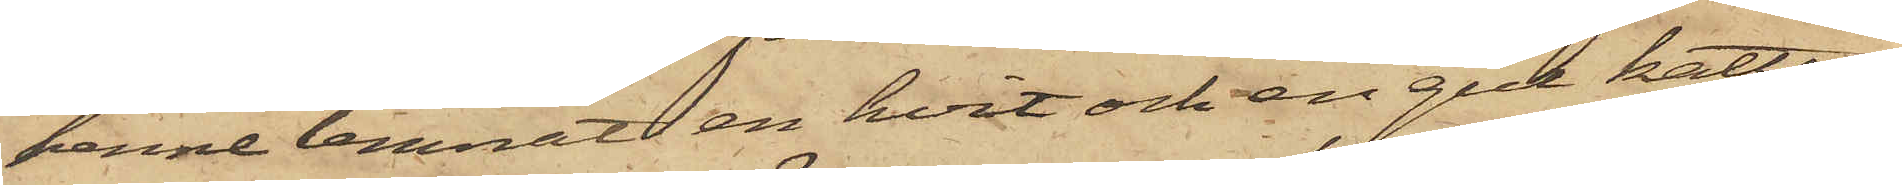henne lemnat en hvit och en gul kattuns¬
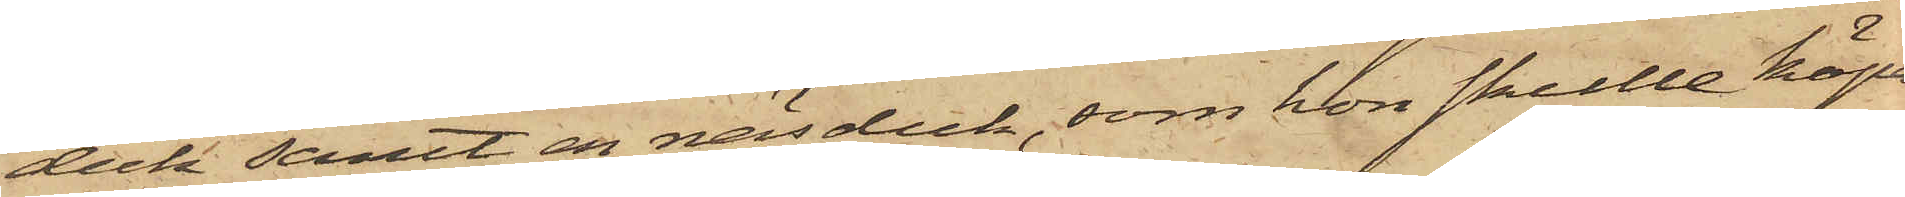duk samt en näsduk, som hon skulle köpa
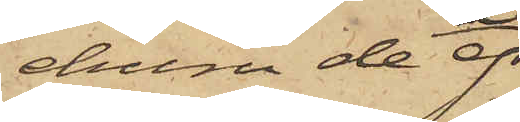ehuru de ej
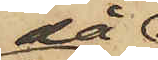då
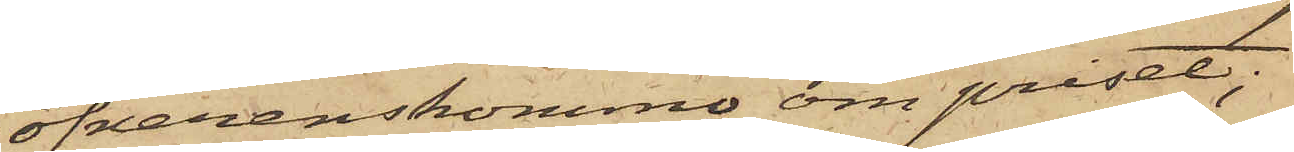öfverenskommo om priset;
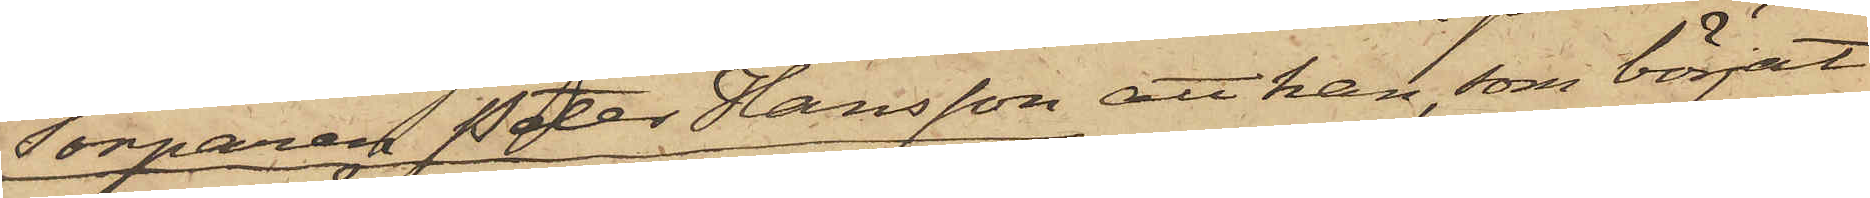Torparen Peter Hansson att han, som börjat
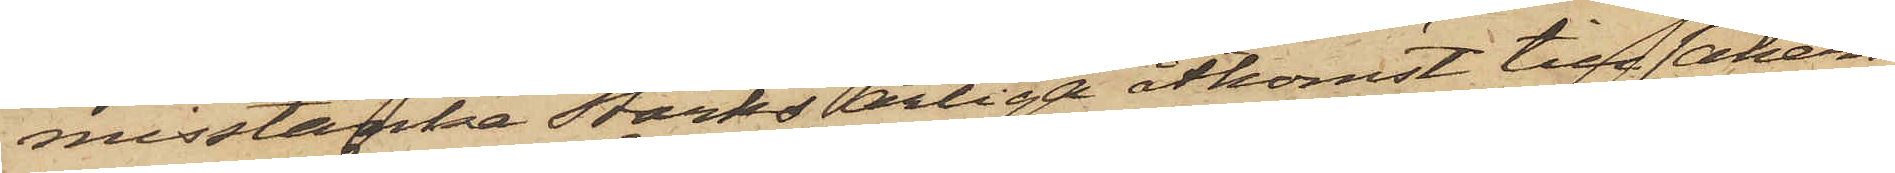misstänka Starks ärliga åtkomst till sakerna
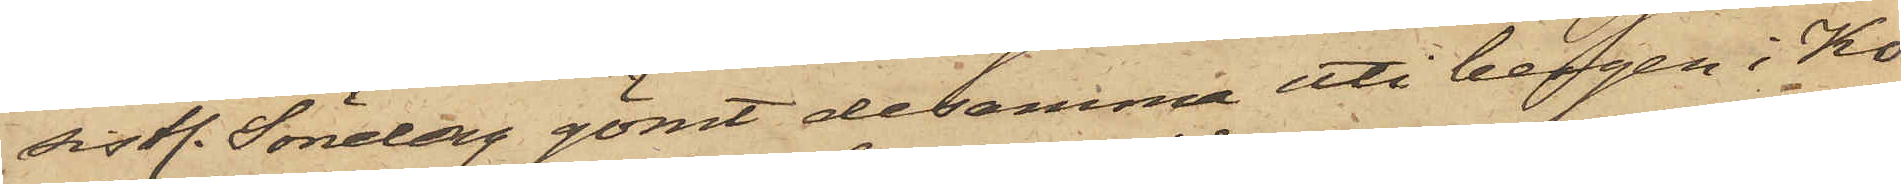sistl. Söndag gömt desamma uti bergen i Ko¬
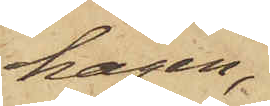hagen,
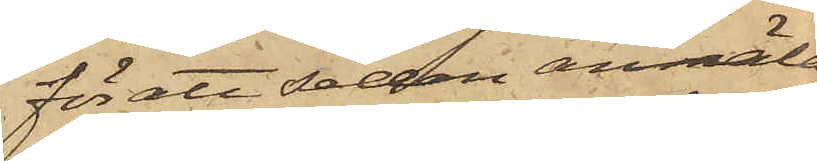för att sedan anmäla
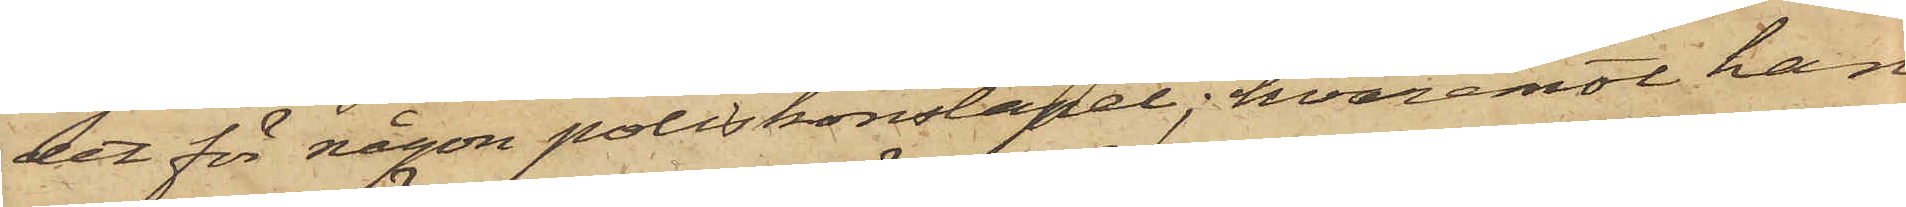det för någon poliskonstapel; hvaremot han
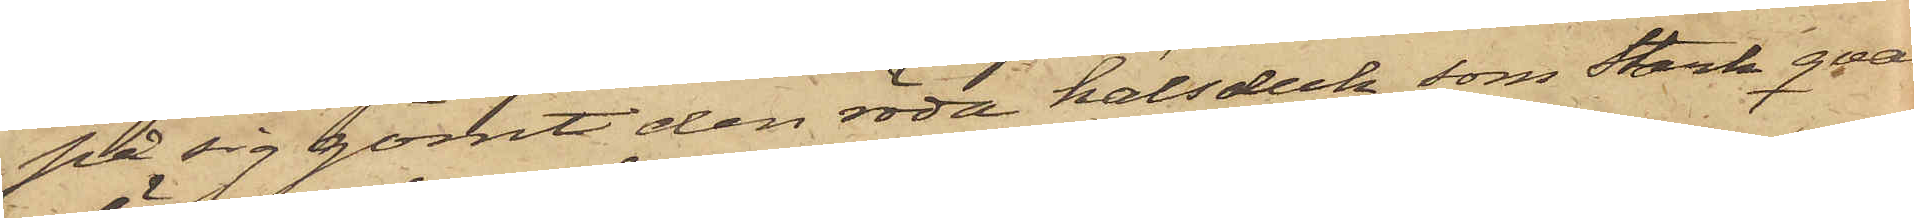på sig gömt den röda halsduk, som Stark qvar¬
